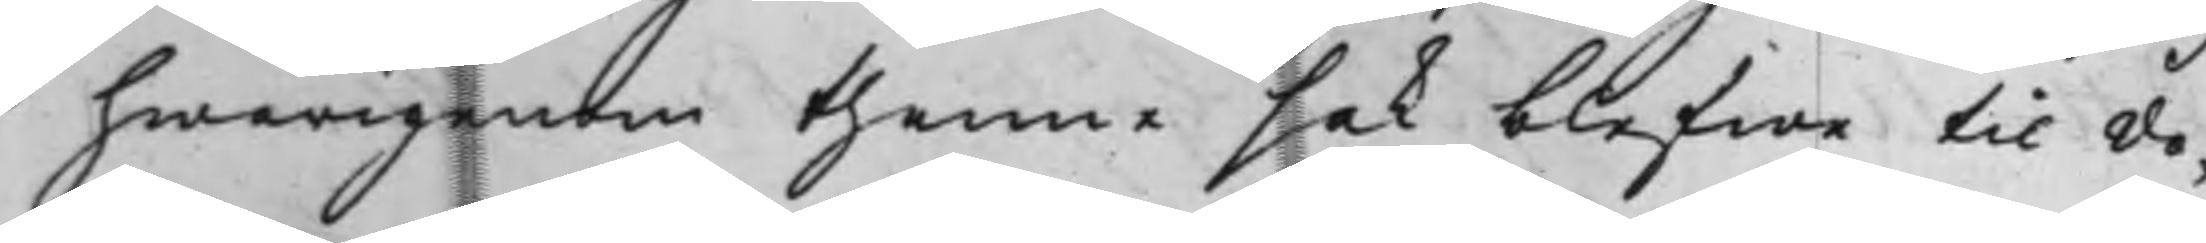hwarigenom thenne sak blefwe til do¬
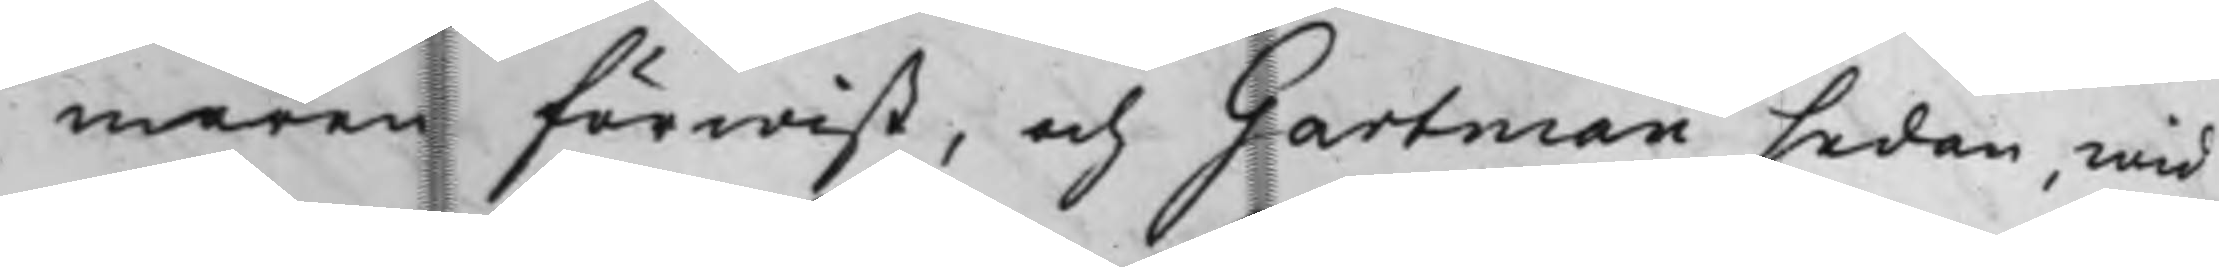maren förwist, och Gartman sedan, wid
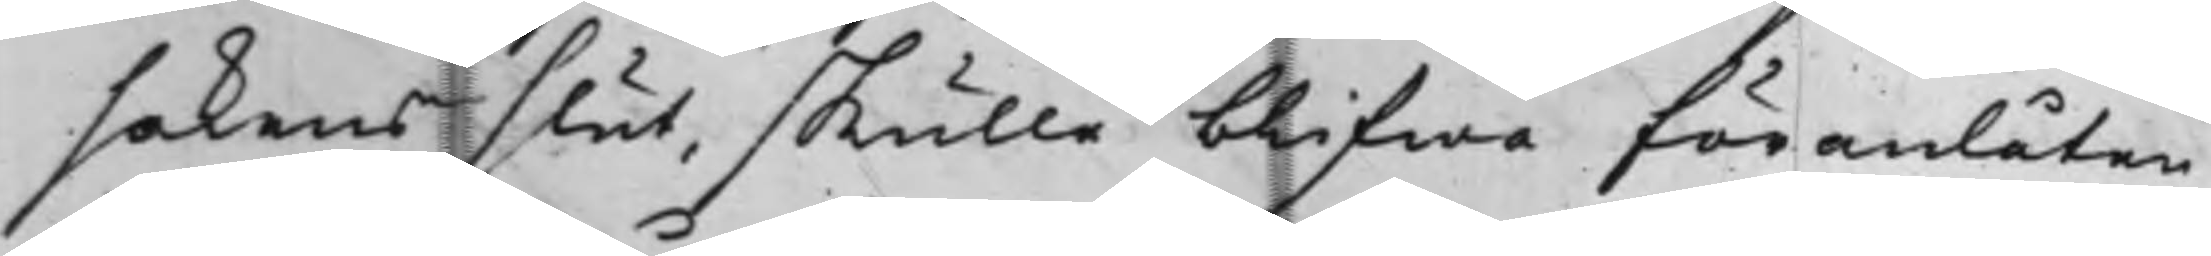sakens slut, skulle blifwa föranlåten
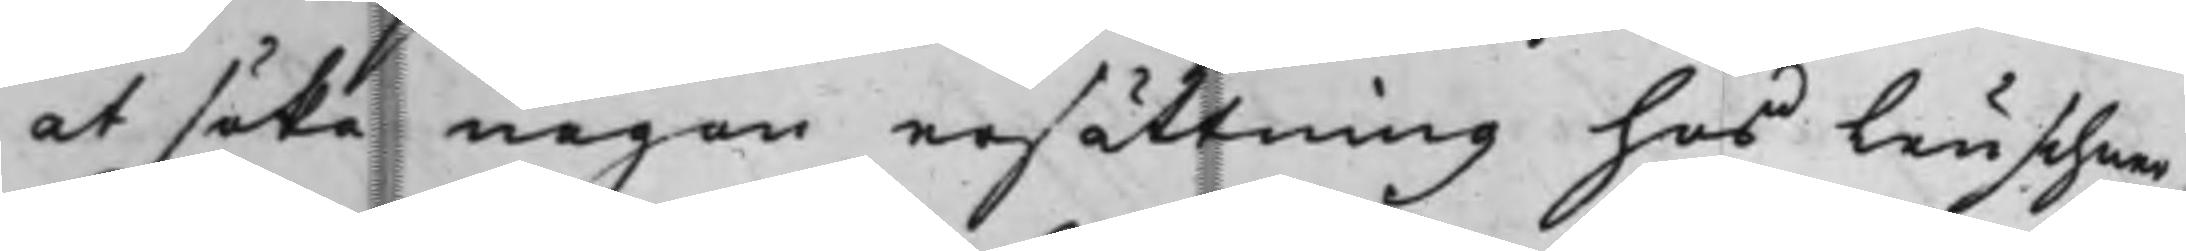at söka någon ersättning hos Leuschner,
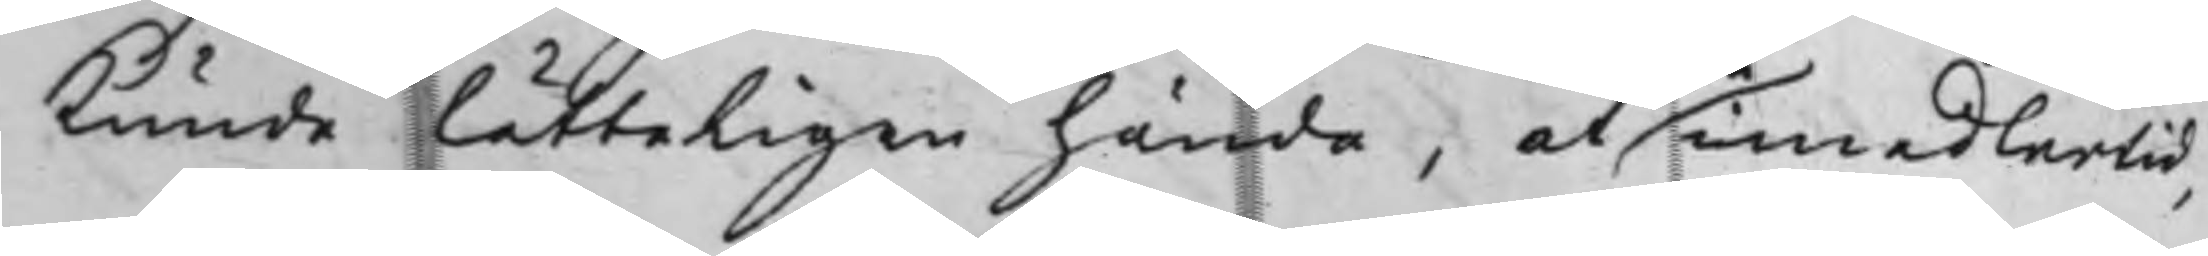kunde lätteligen hända, at imedlerlid,
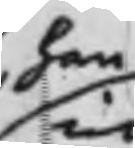han
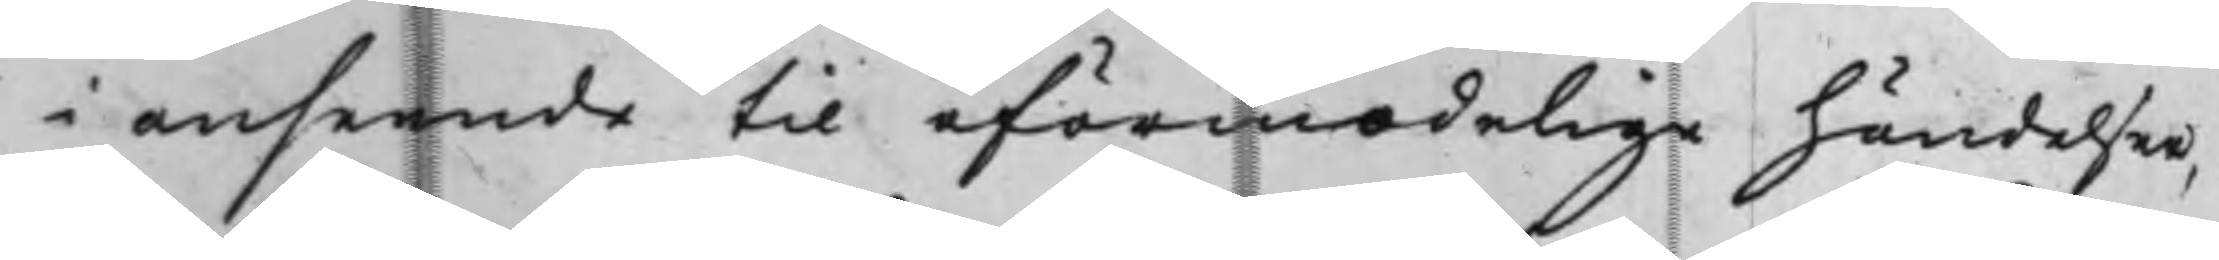i anseende til oförmodelige händelser,
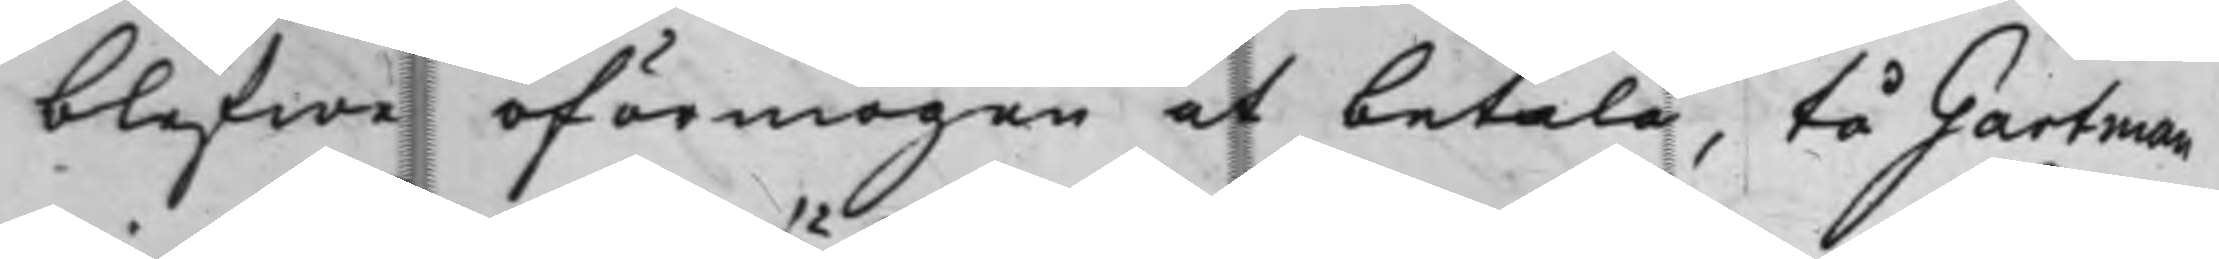blefwe oförmögen at betala, tå Gartman
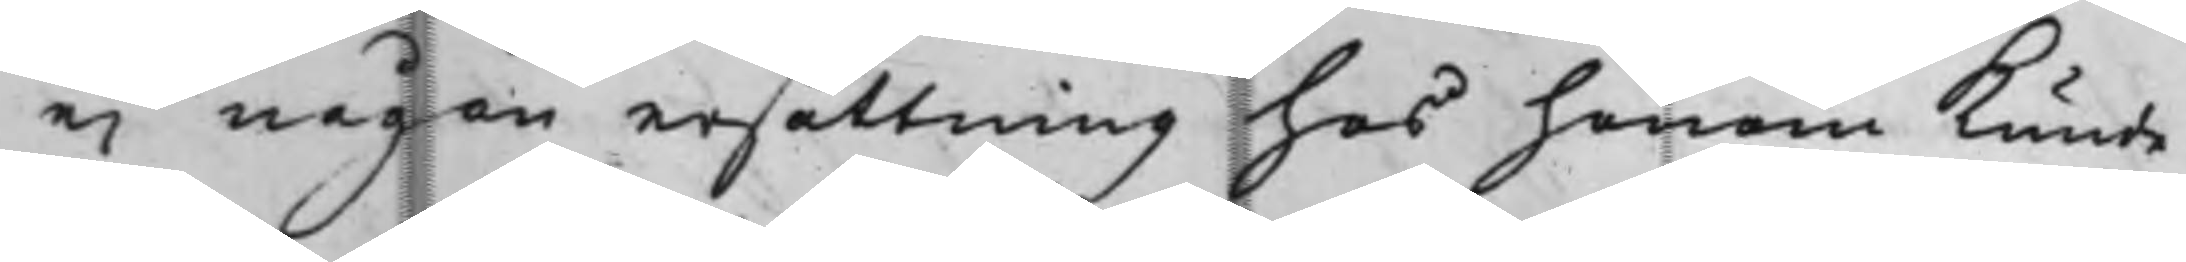ei någon ersättning hos honom kunde
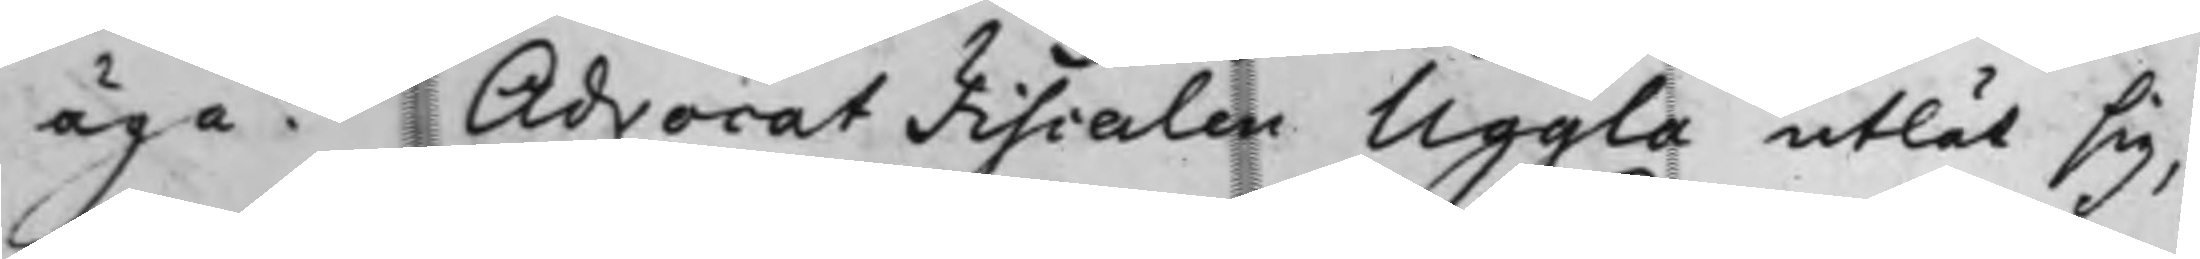äga. Advocat Fiscalen Uggla utlät sig,
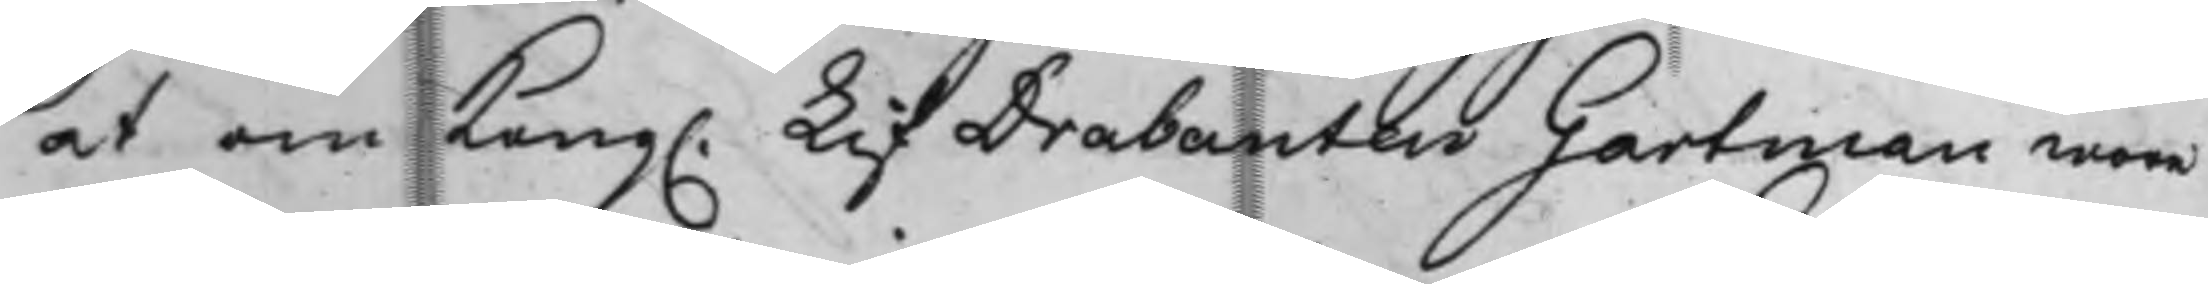at om Kong. LifDrabanteu Gartman wore
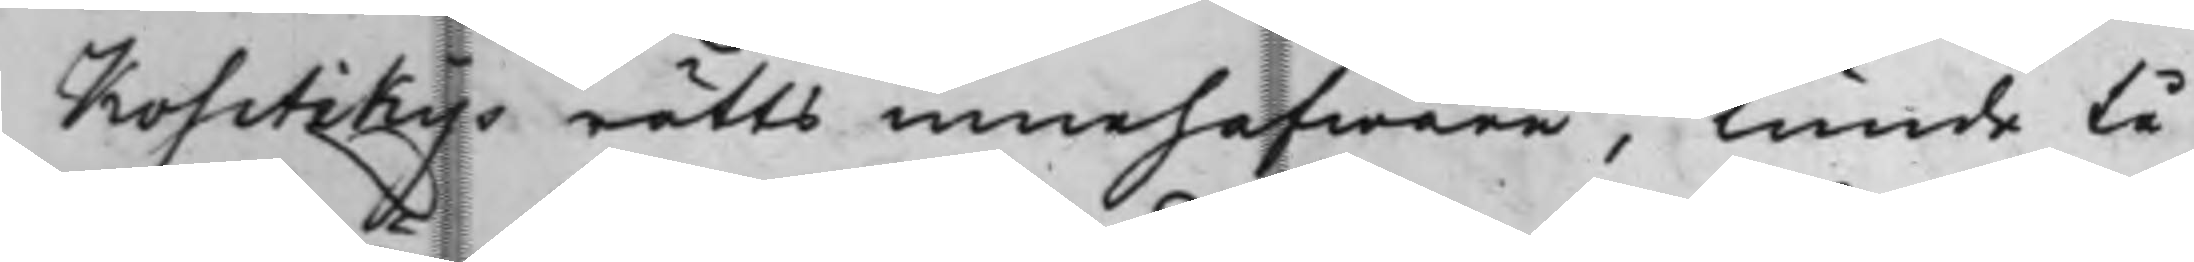Kositzkys rätts innehafware, kunde tå
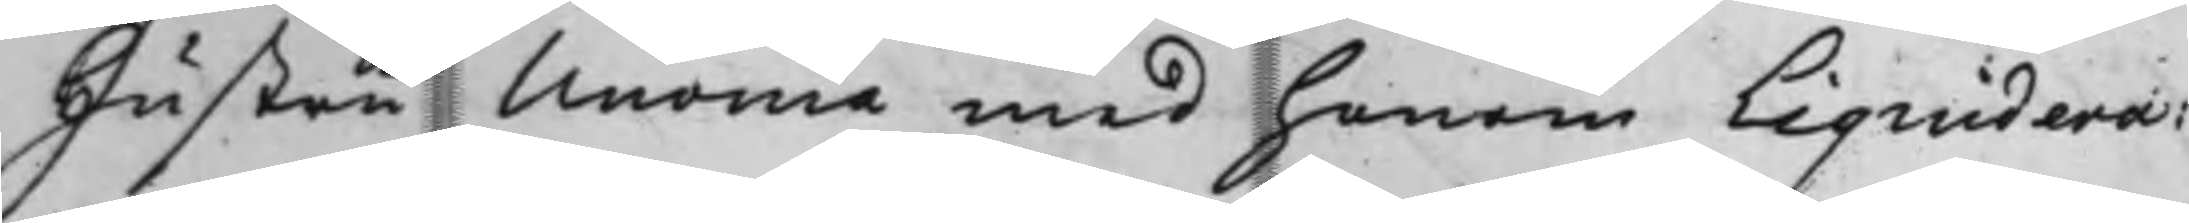Hustru Unonia med honom Liquidera:
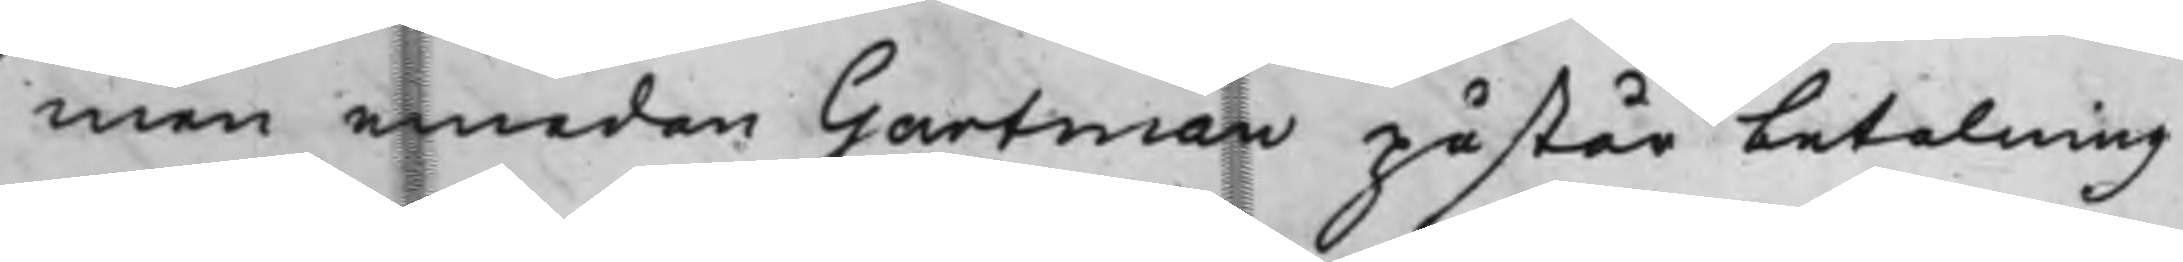men emedan Gartman påstår betalning
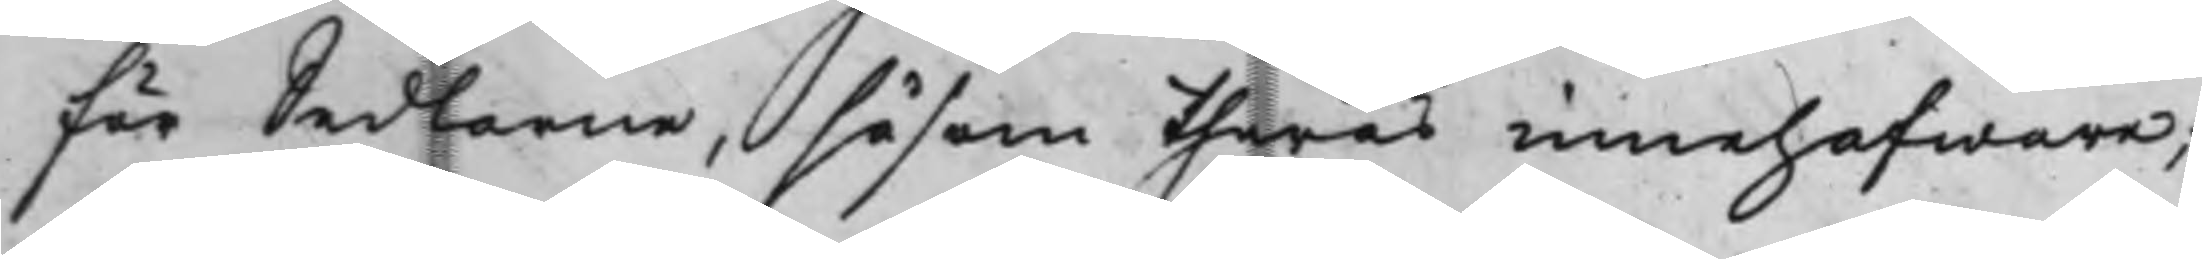för Sedlarne, såsom theras innehafware;
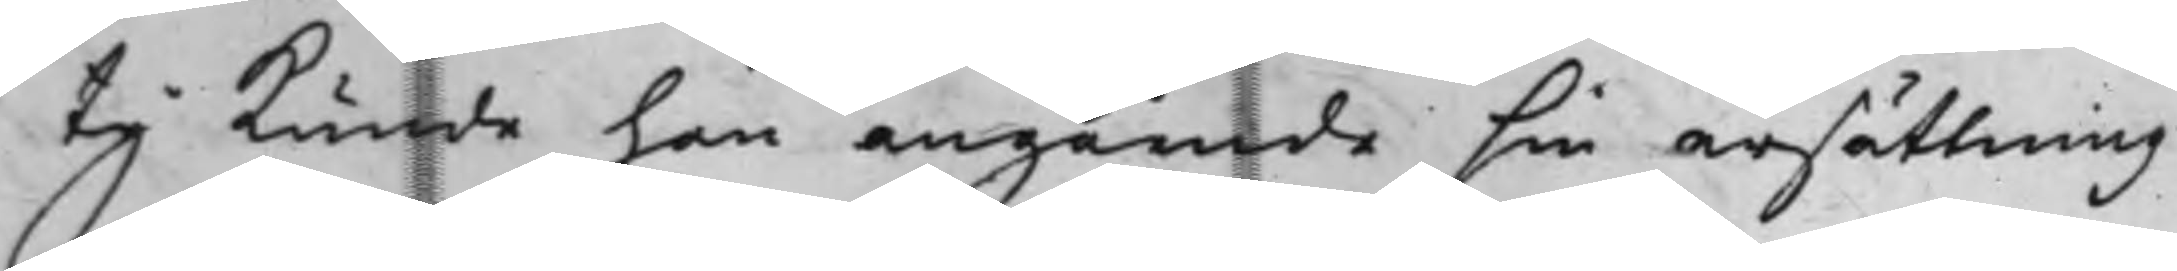ty kunde han angående sin ersättning
